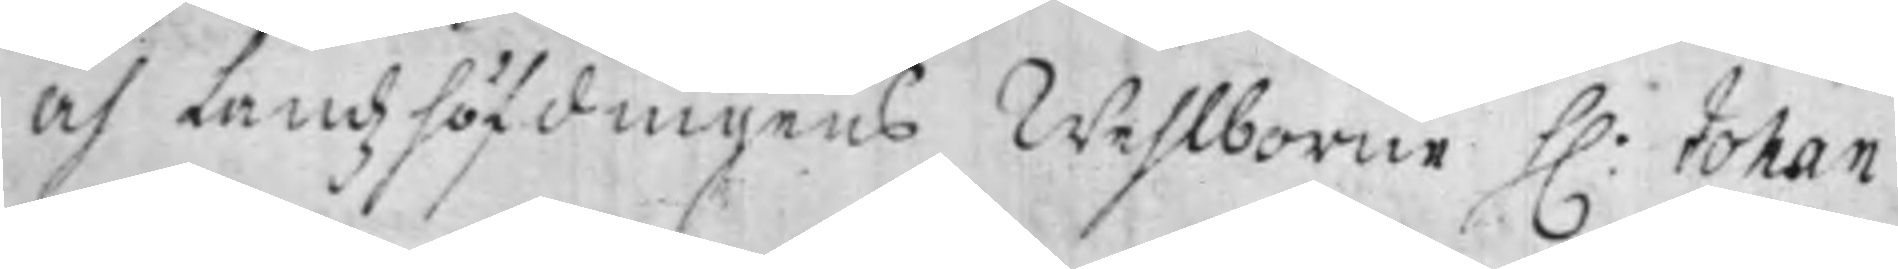och Landzhöfdingens Wehlborne H: Johan
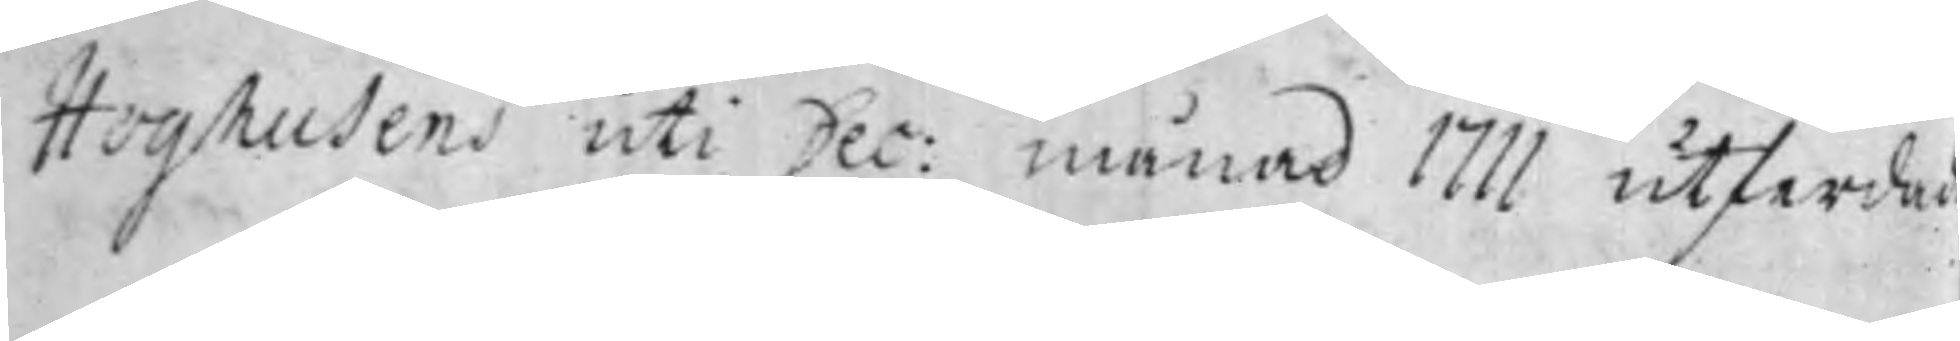Hoghusens uti Dec: månad 1711 utferda¬
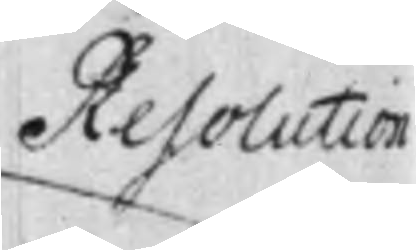Resolution
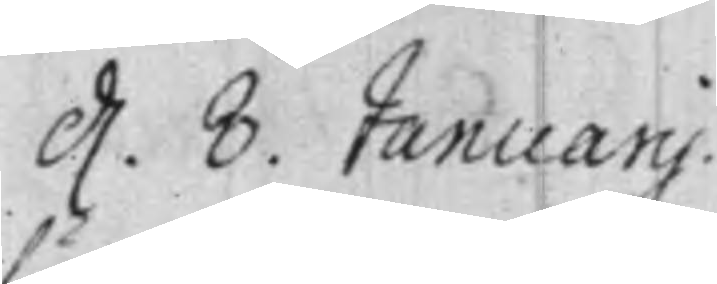d. 8. Januarij.
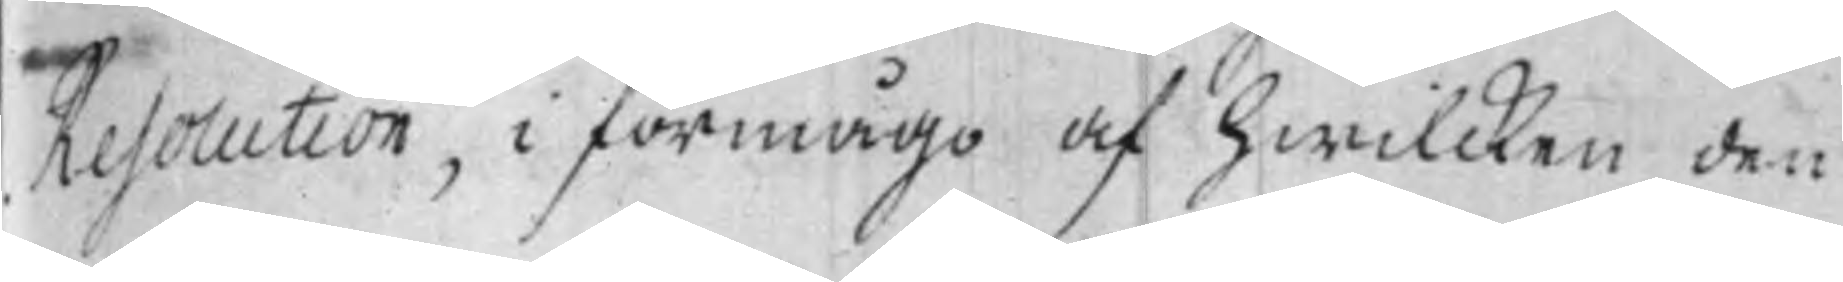Resolution, i förmågo af hwilcken den
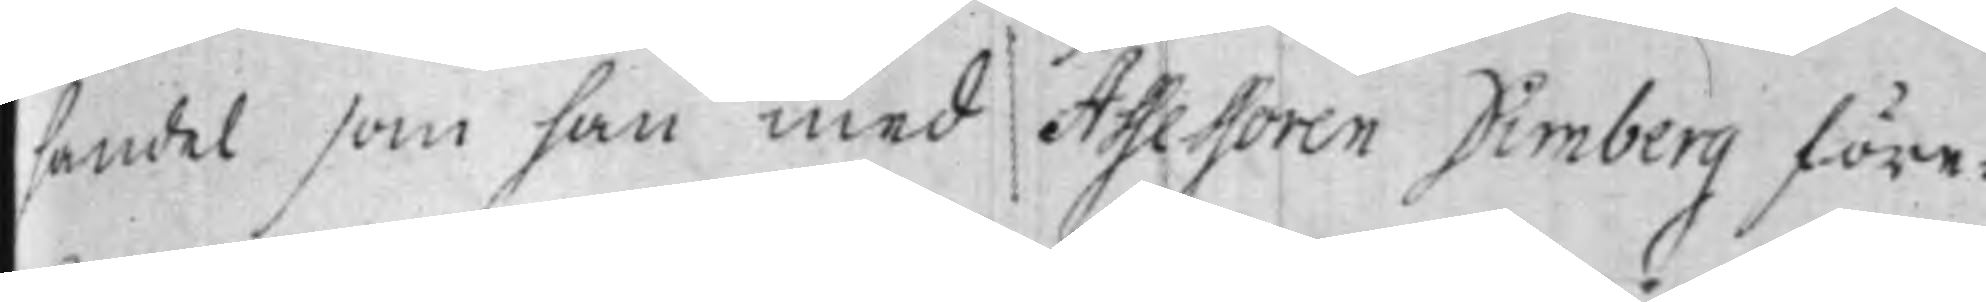handel som han med Assessoren Dimberg före¬
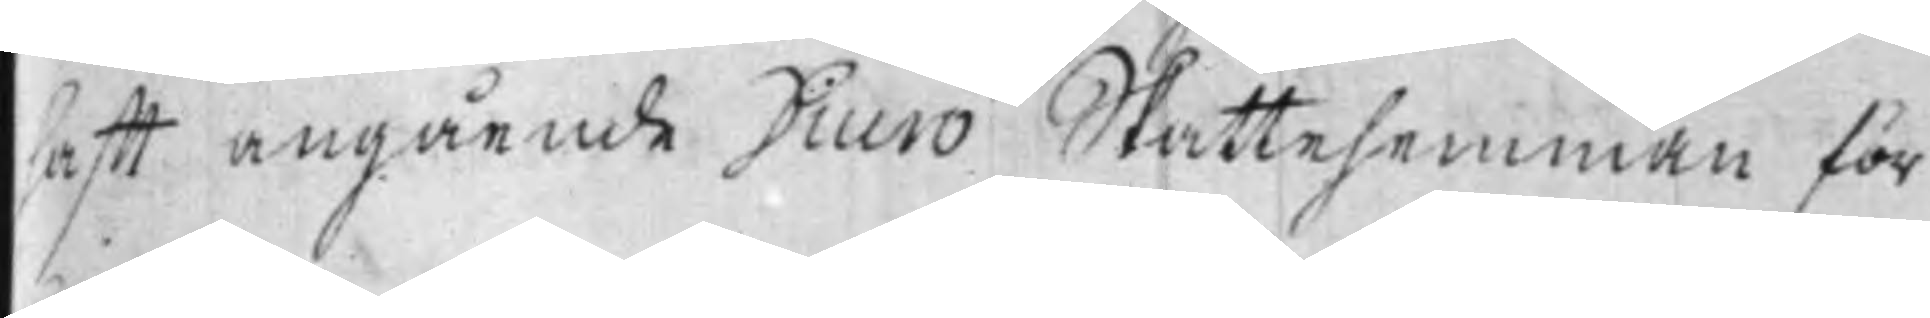hafft angående Diurö Skattehemman för
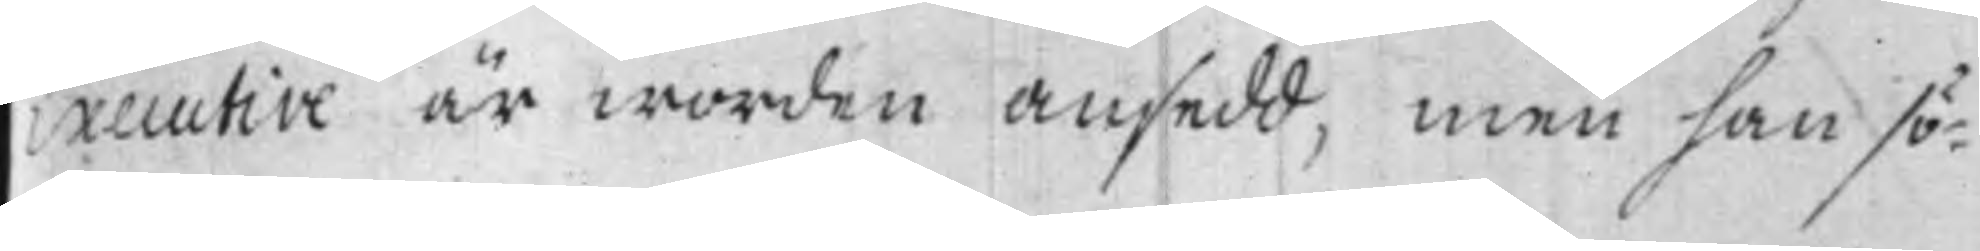Executive är worden ansedd, men han sö¬
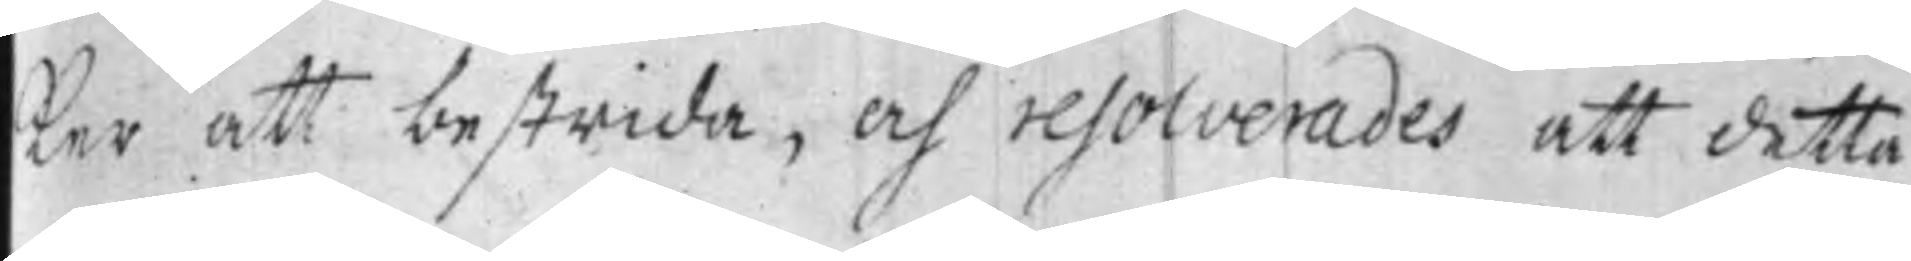ker att bestrida, och resolverades att detta
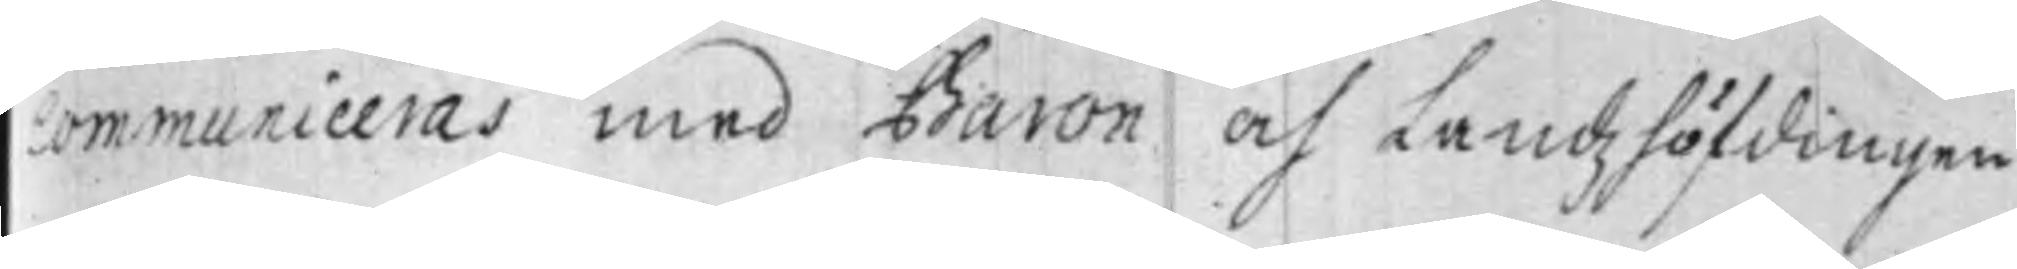communiceras med Baron och Landzhöfdingen
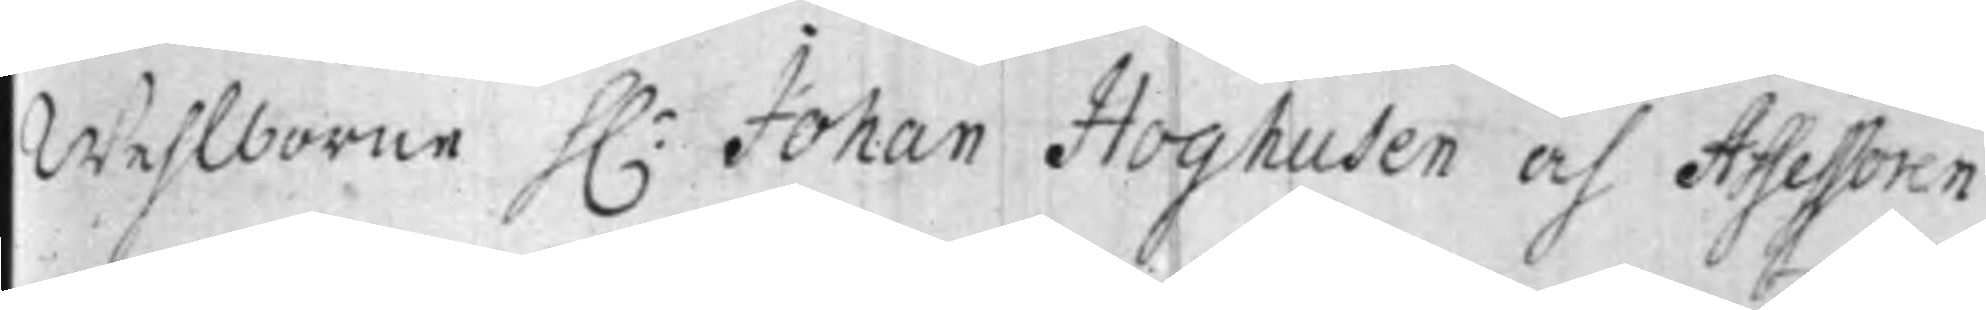Wehlborne H.r Johan Hoghusen och Assessoren
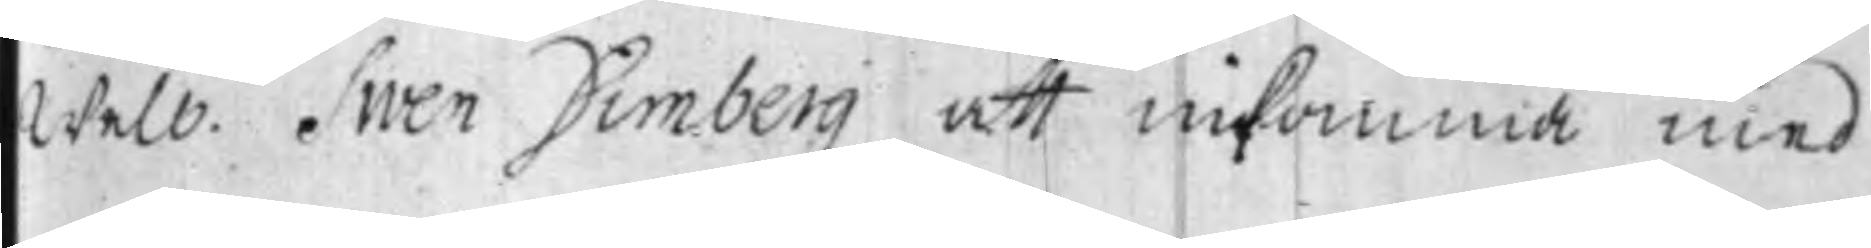Welb. Swen Dimberg att inkomma med
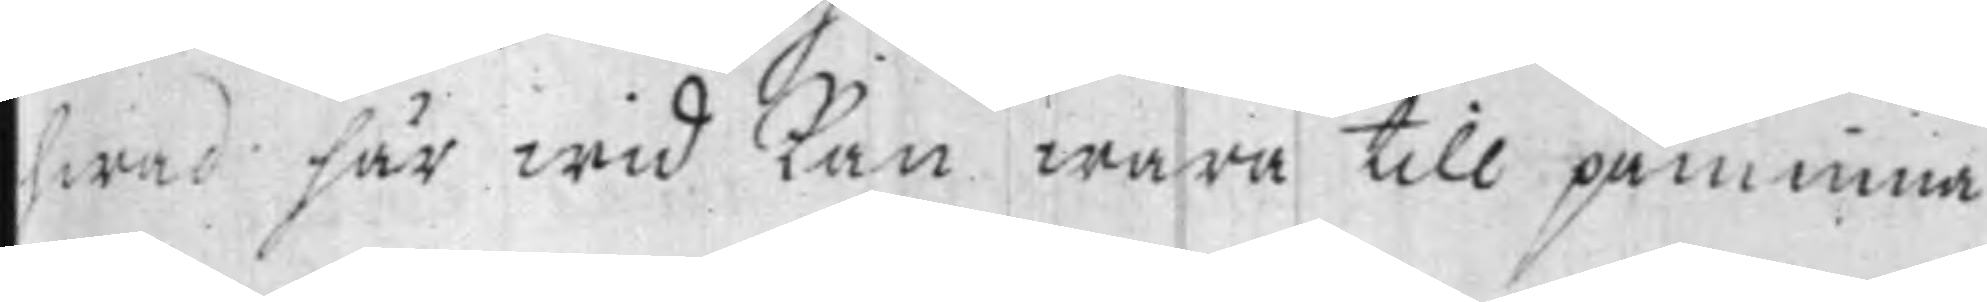hwad här wid kan wara till påminna
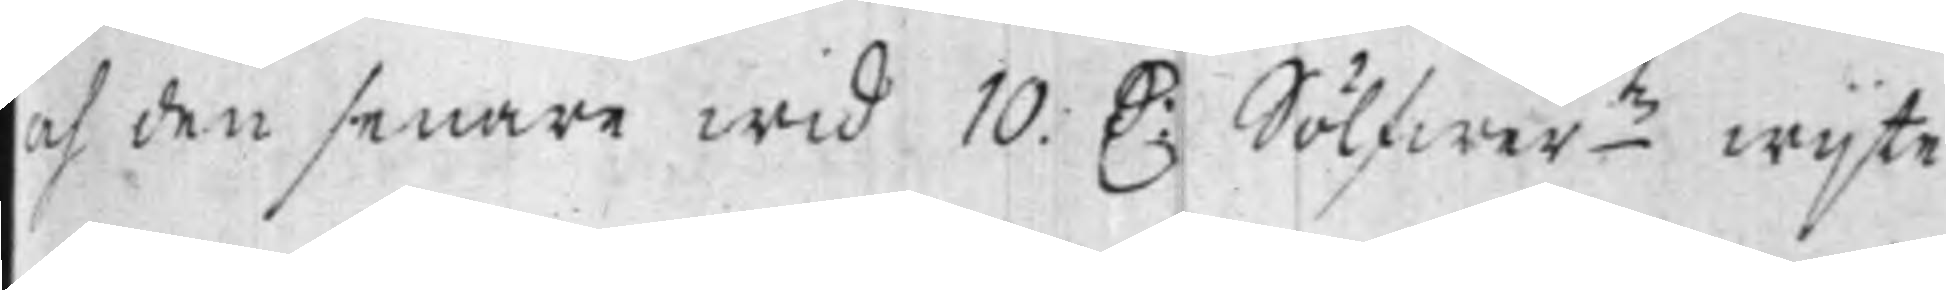och den senare wid 10. D: Sölfwer.mtz wijte
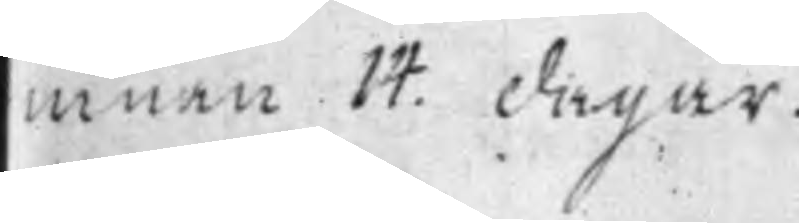innan 14. dagar.
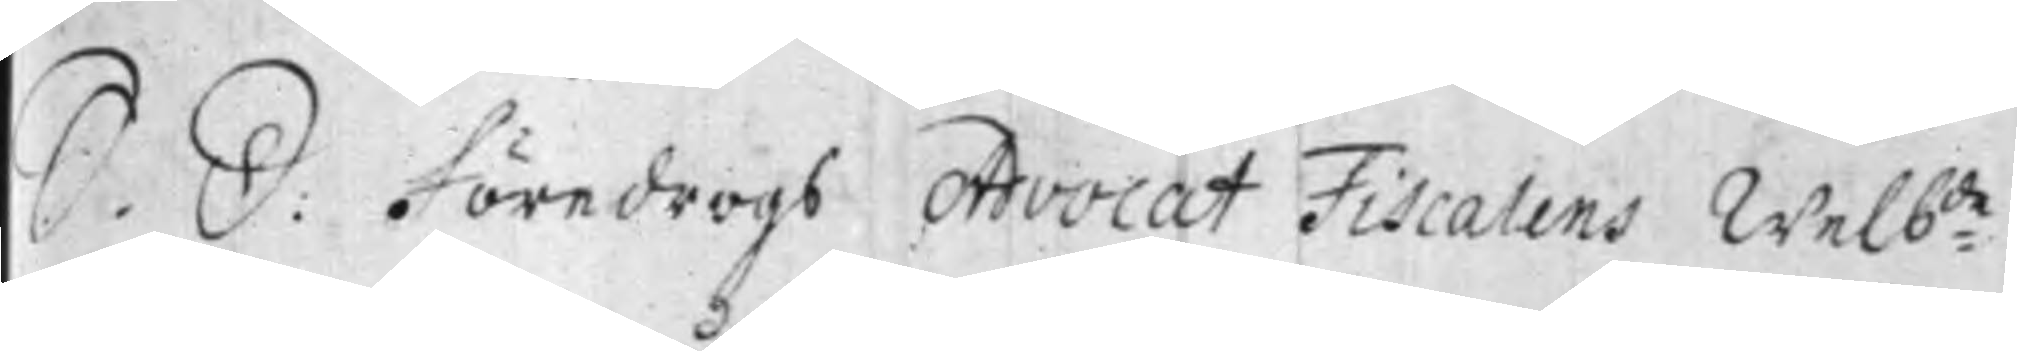S. D: Föredrogs Advocat Fiscalens Welb:de
